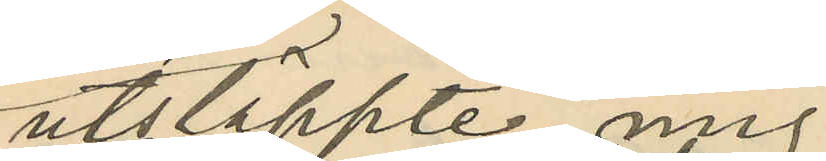utsläppte mig
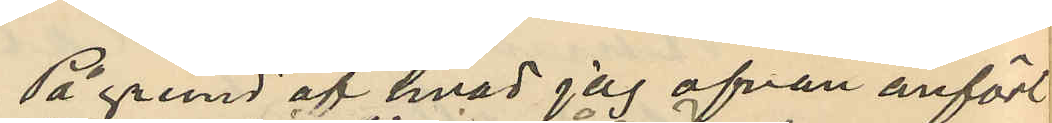På grund af hvad jag ofvan anfört
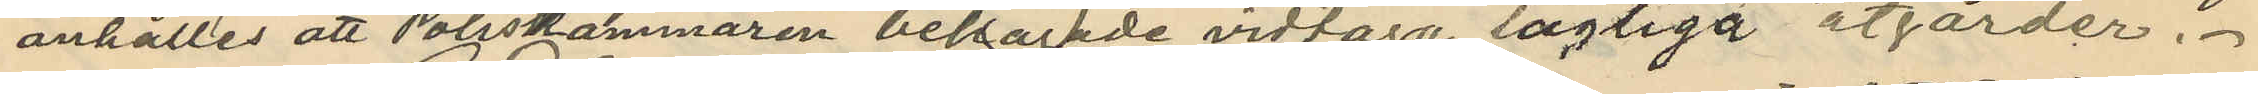anhålles att Poliskammaren behagade vidtaga lagliga åtgärder.
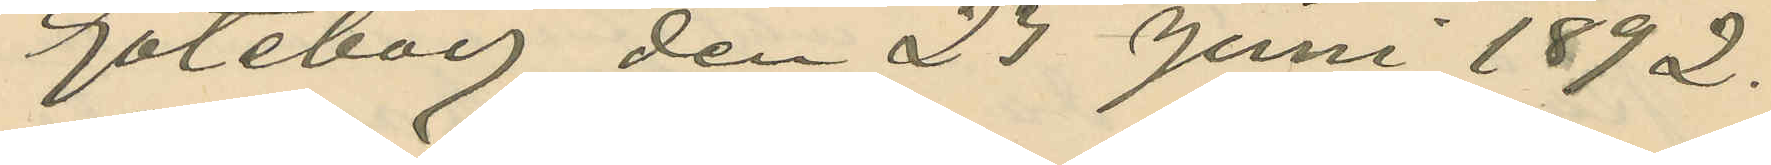Göteborg den 23 Juni 1892.
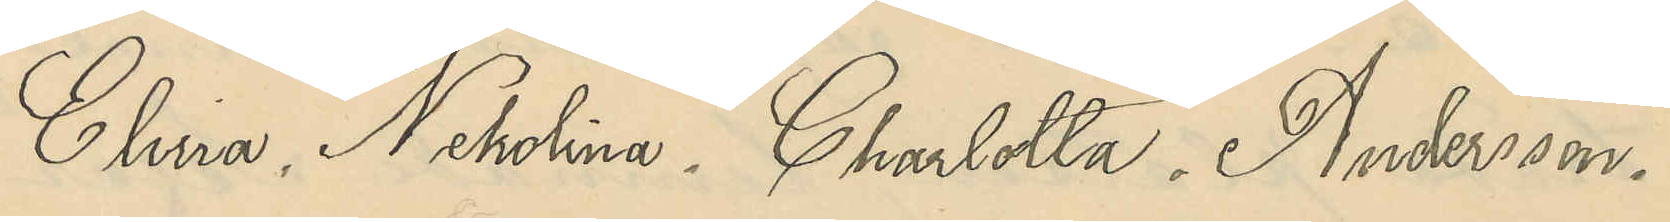Elvira Nekolina Charlotta Andersson.
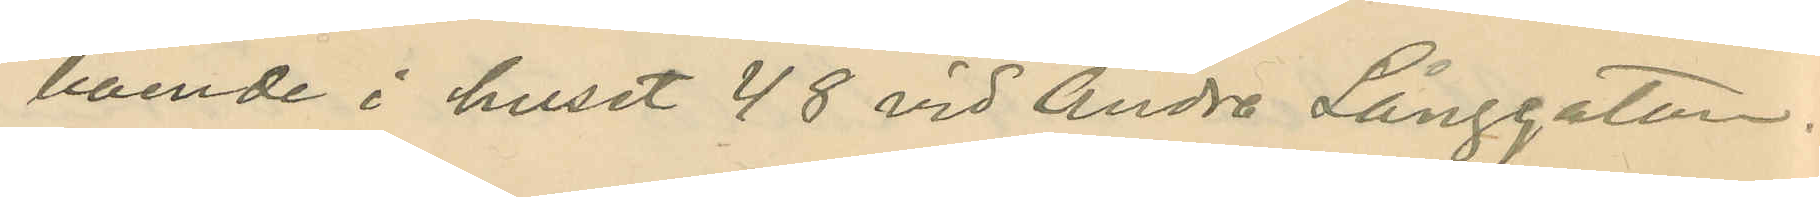boende i huset 48 vid Andra Långgatan.
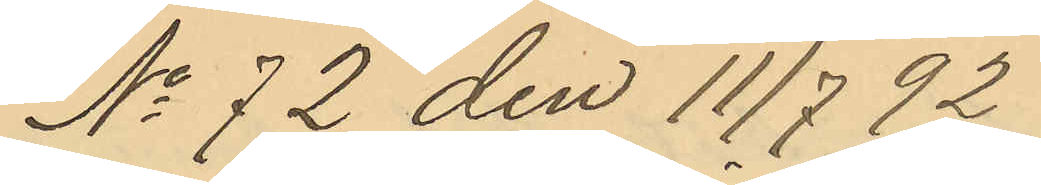No 72 den 11/7 92
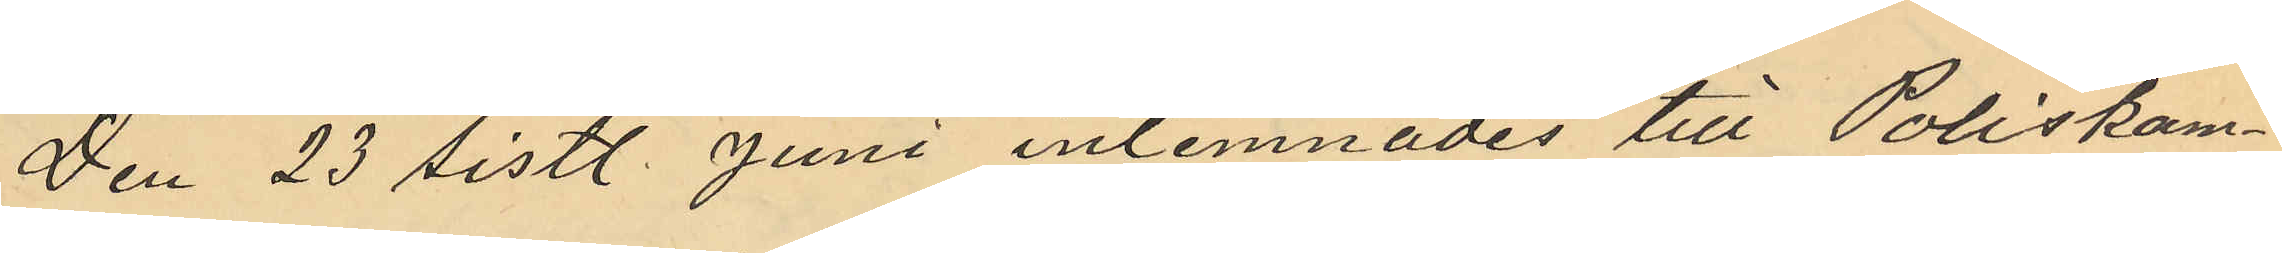Den 23 sistl. Juni inlemnades till Poliskam¬
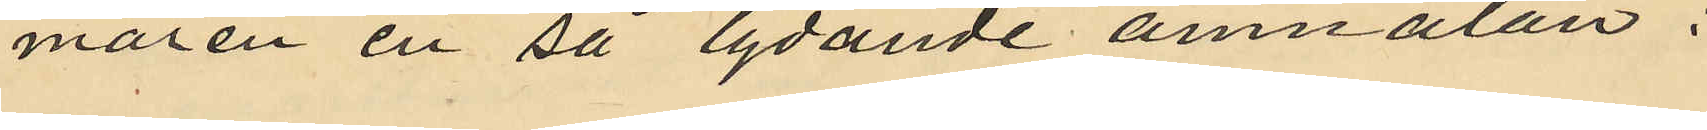maren en på lydande anmälan:
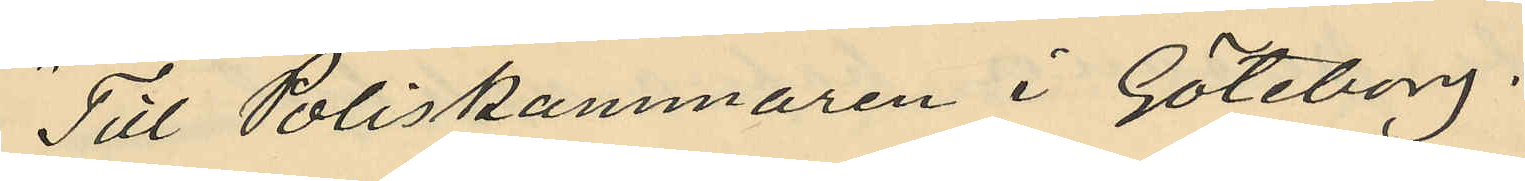"Till Poliskammaren i Göteborg.
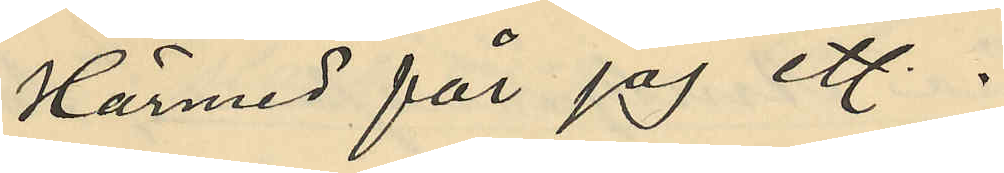Härmed får jag et.
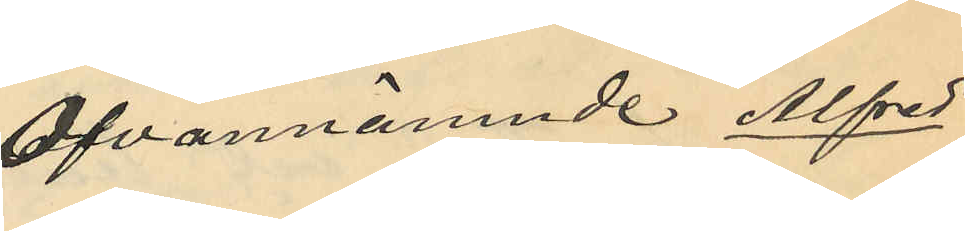Ofvannämnde Alfred
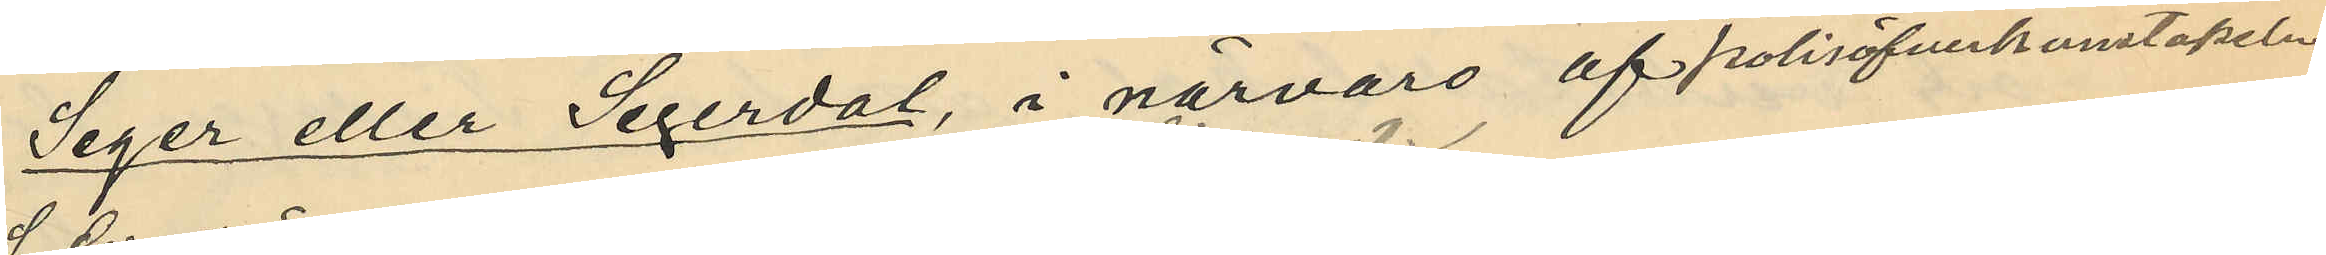Seger eller Segerdal, i närvaro af polisöfverkonstapeln
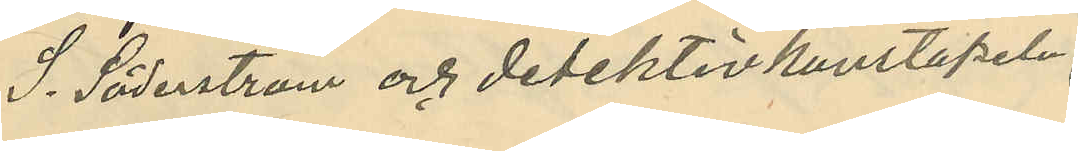S. Söderström och detektivkonstapeln
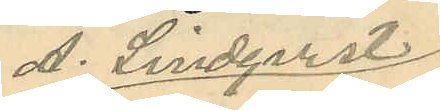A. Lindquist
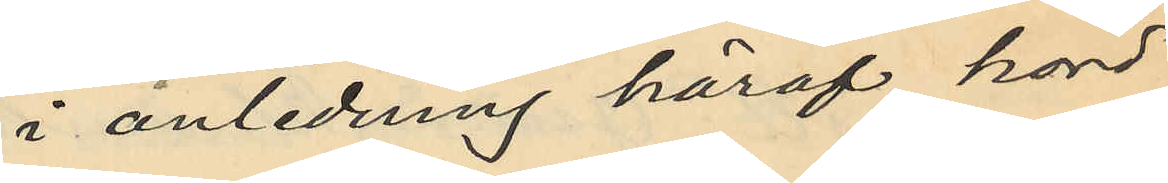i anledning häraf hörd
